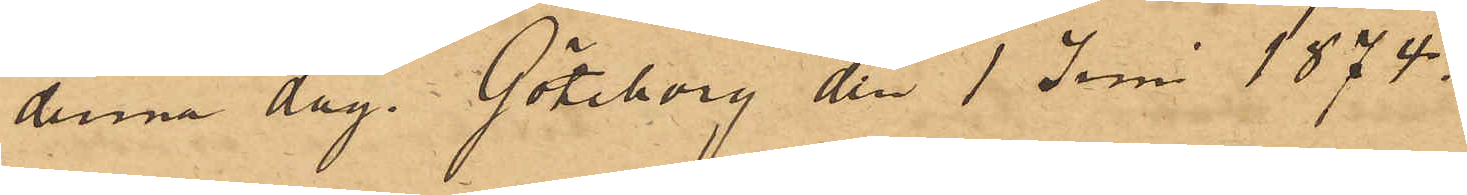denna dag. Göteborg den 1 Juni 1874.
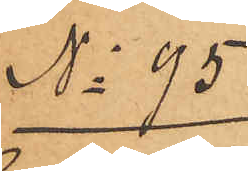No 95
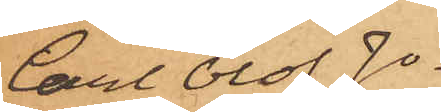Carl Olof Jo¬
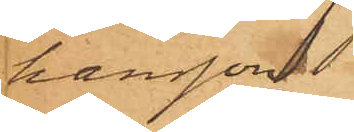hansson
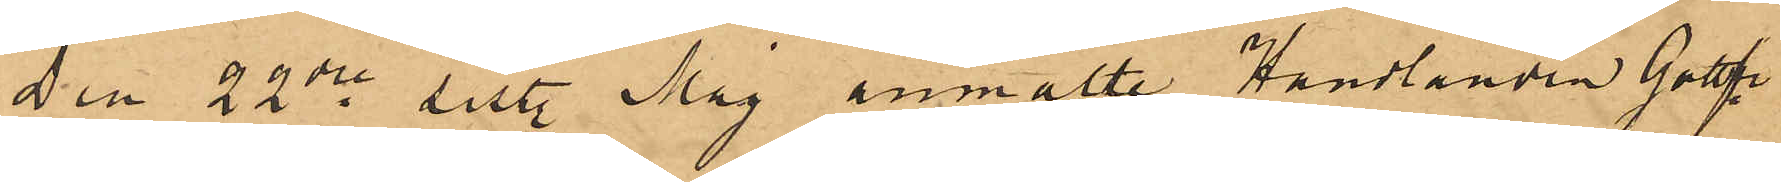Den 22de sist. Maj anmälte Handlanden Gottfr.
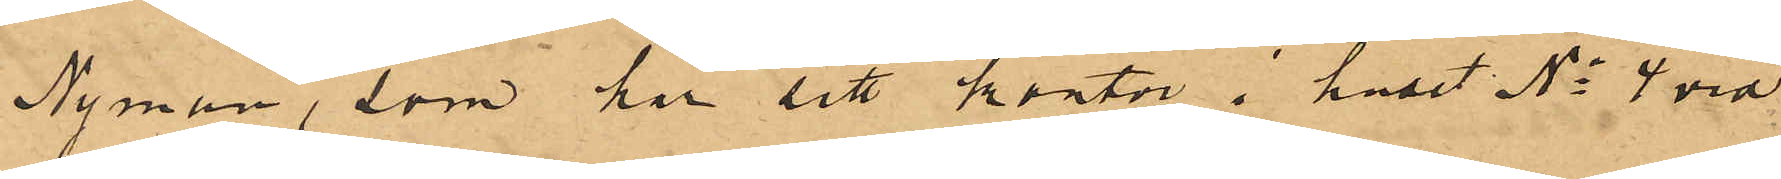Nyman, som har sitt kontor i huset No 4 vid
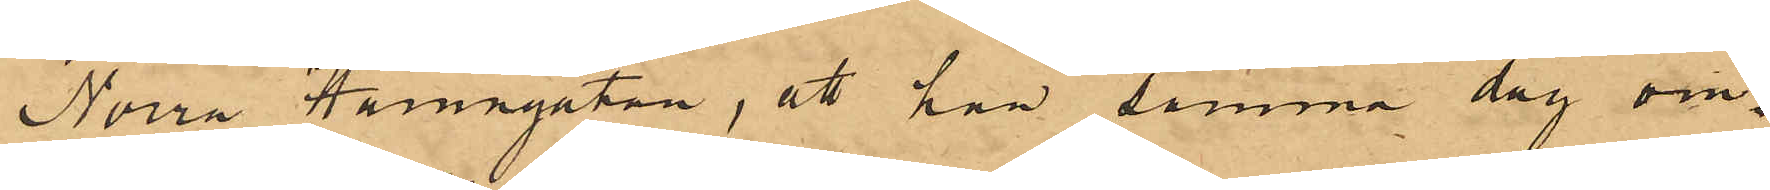Norra Hamngatan, att han samma dag om¬
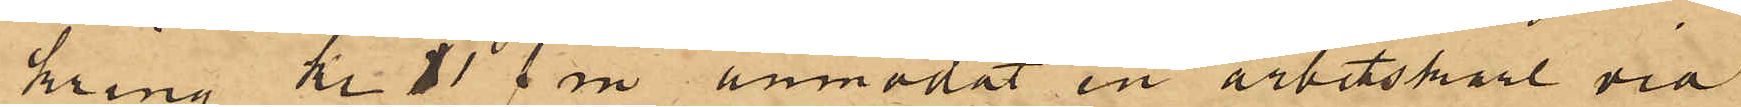kring kl 11 fm anmodat en arbetskarl vid
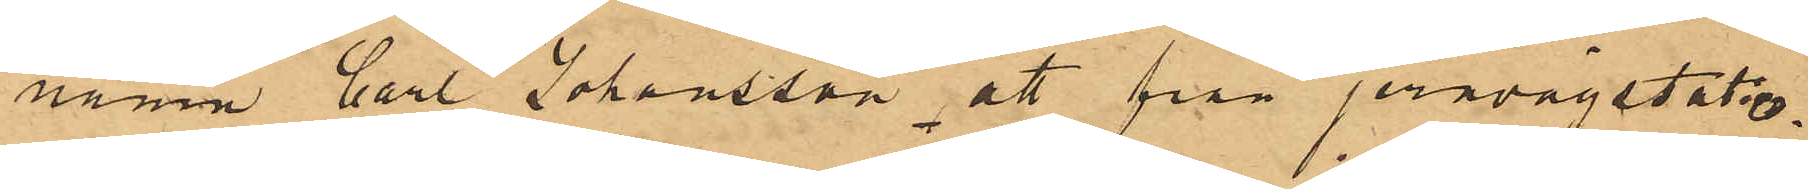namn Carl Johansson att från jernvägstatio¬
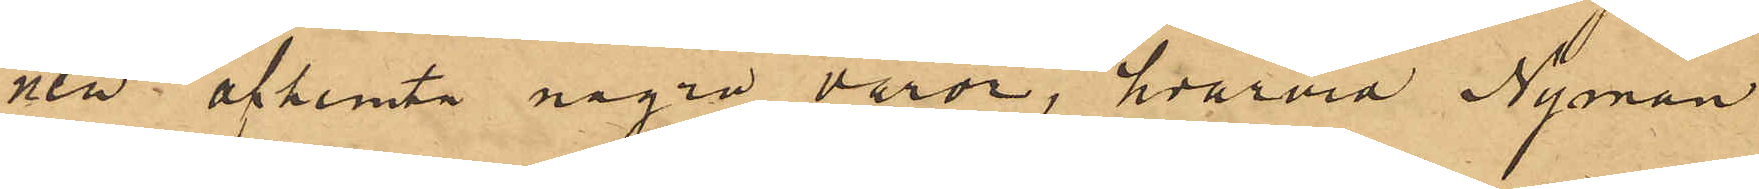nen afhemta några varor, hvarvid Nyman
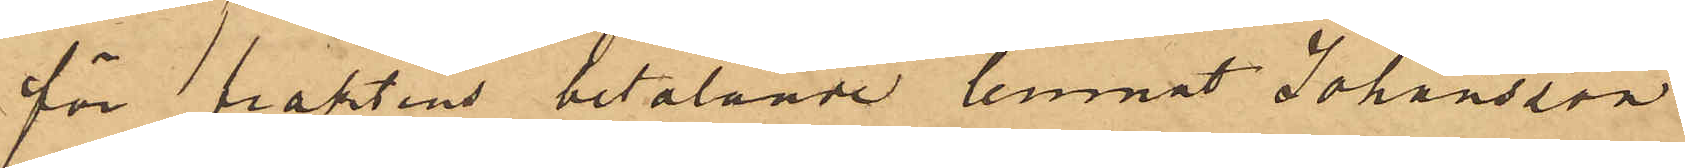för fraktens betalande lemnat Johansson
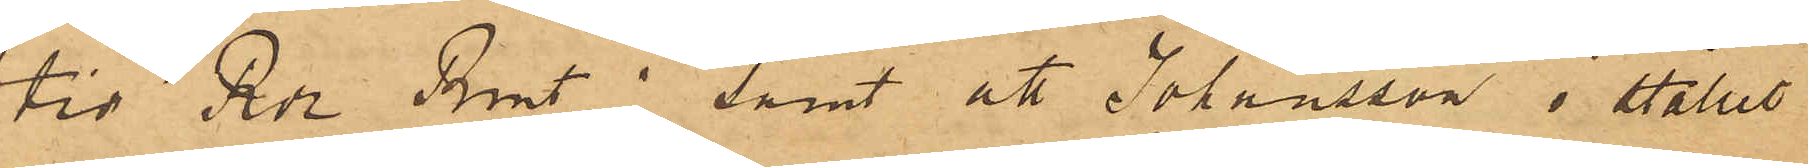tio Rdr Rmt; samt att Johansson i stället
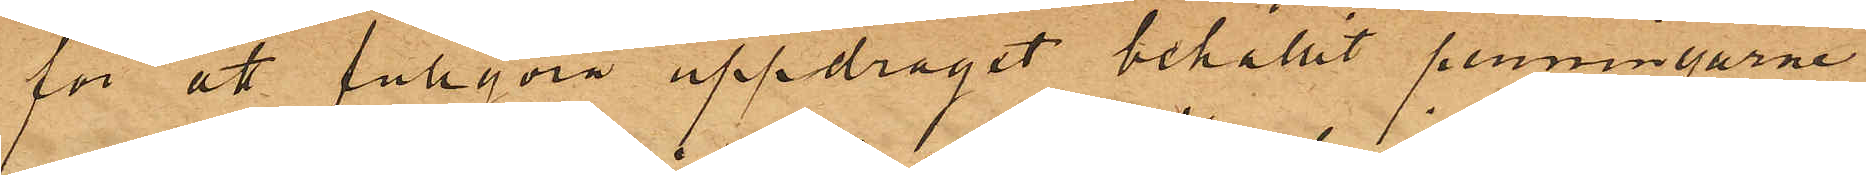för att fullgöra uppdraget behållit penningarne
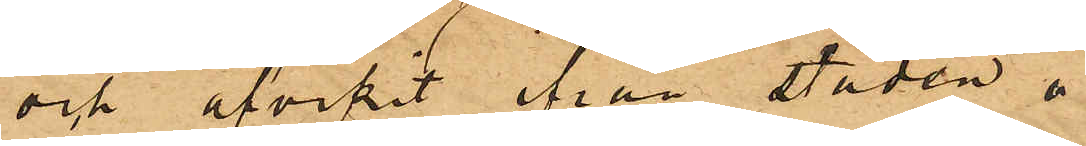och afvikit ifrån staden.
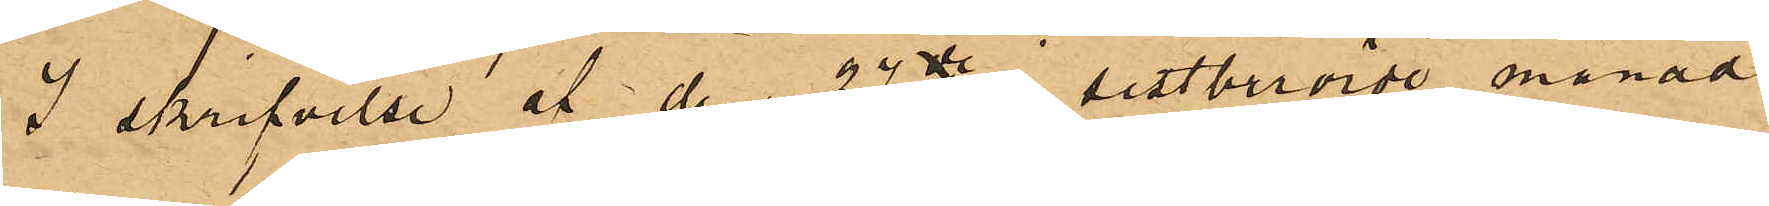I skrifvelse af den 27de i sistberörde månad
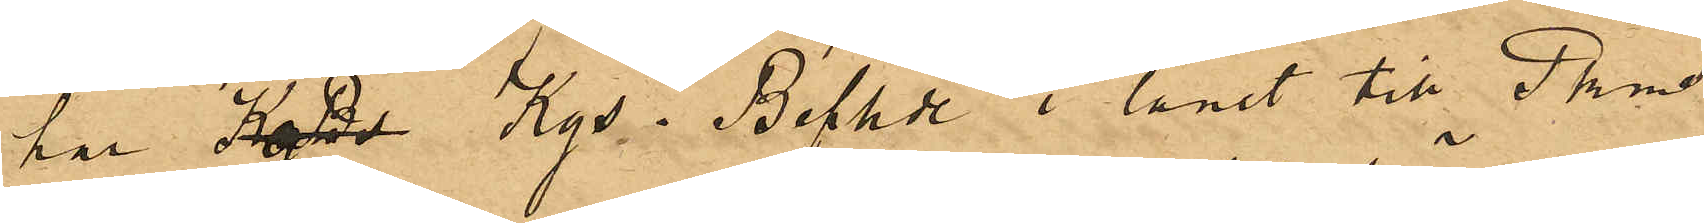har KgBd Kgs. Befhde i länet till Pkms
